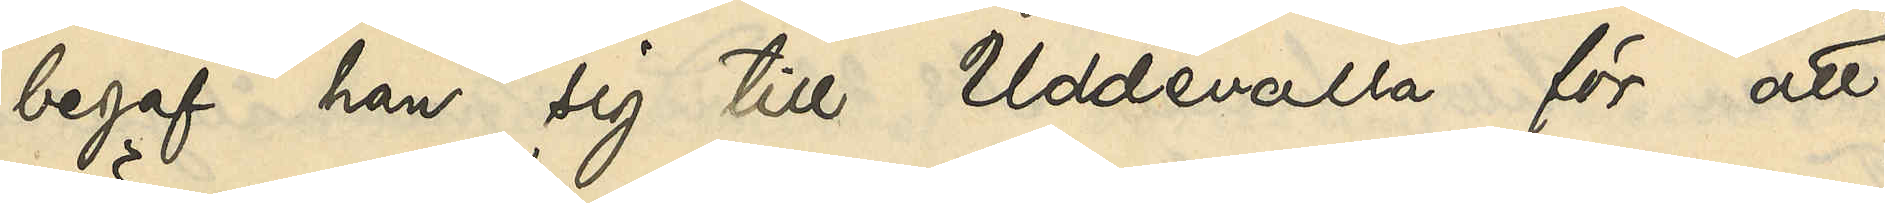begaf han sig till Uddevalla för att
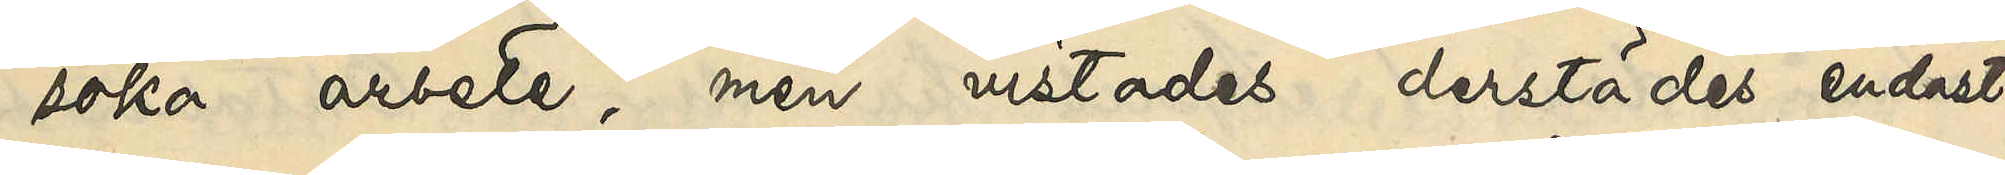söka arbete, men vistades derstädes endast
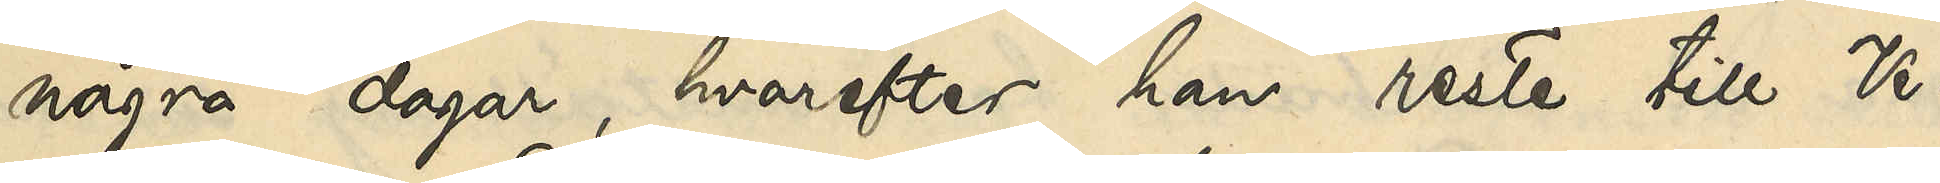några dagar, hvarefter han reste till Ve¬
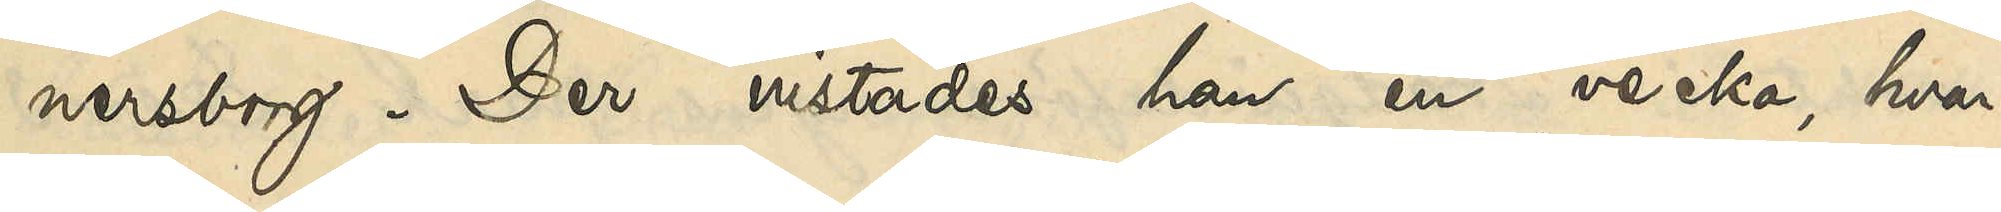nersborg. Der vistades han en vecka, hvar¬
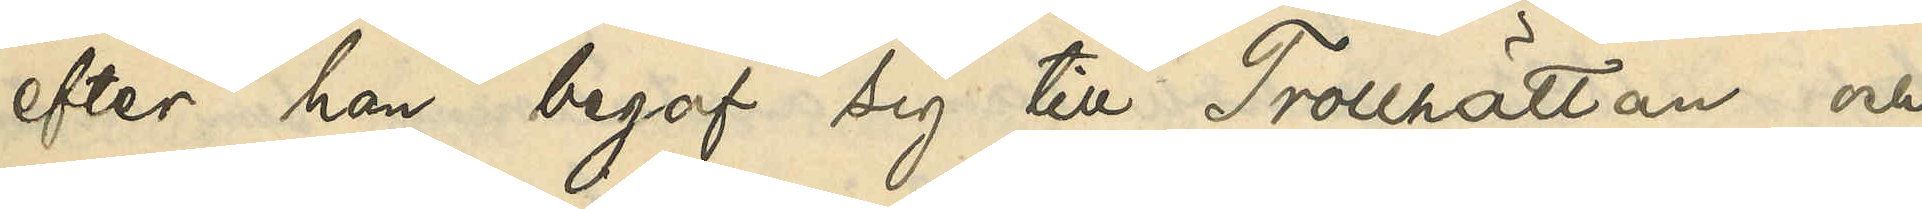efter han begaf sig till Trollhättan och
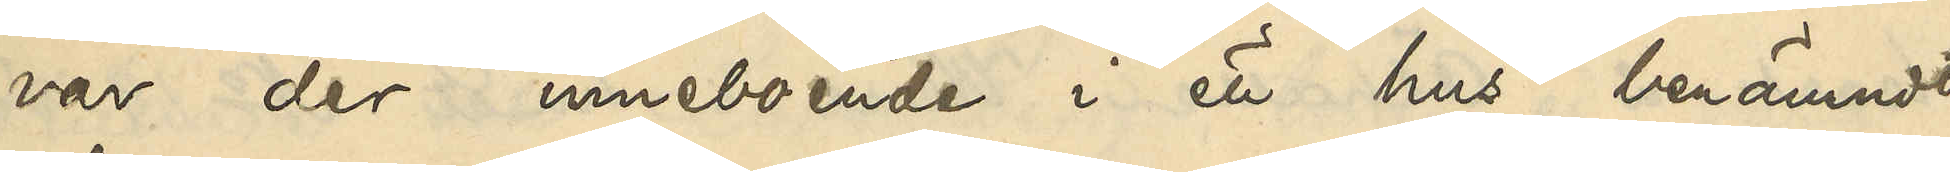var der inneboende i ett hus benämndt
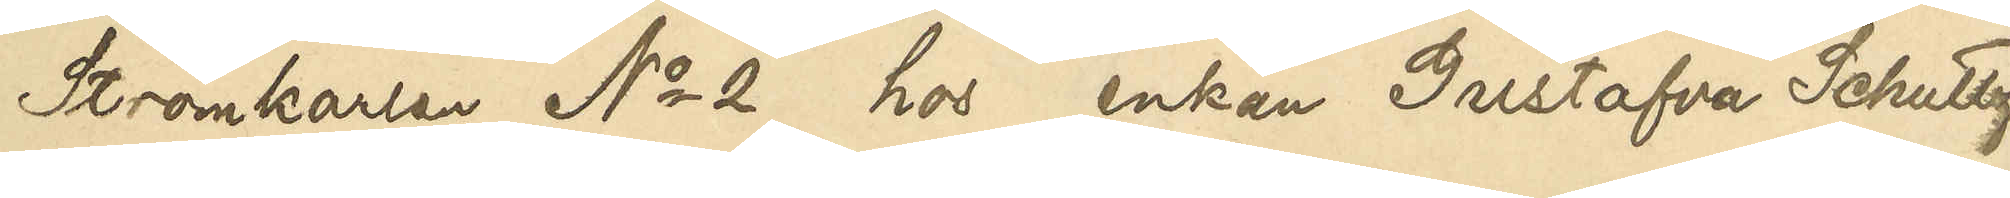Strömkarlen No 2 hos enkan Gustafva Schultz
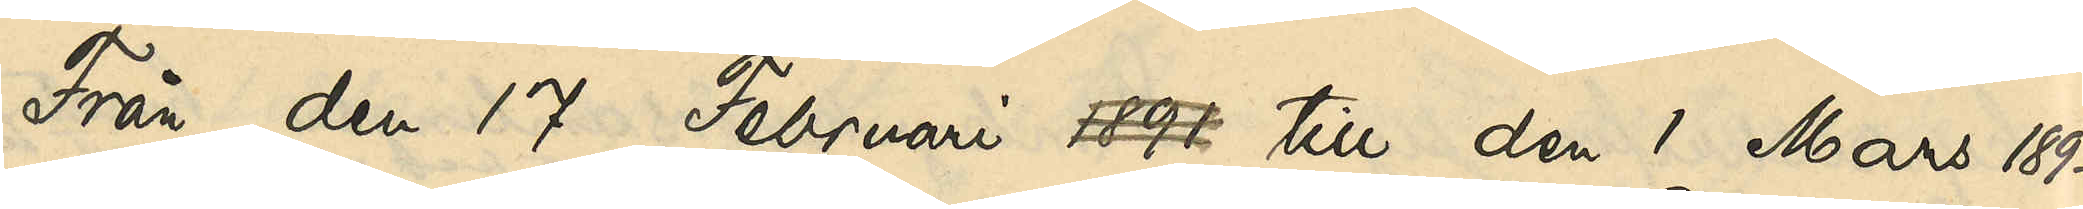Från den 17 Februari 1891 till den 1 Mars 1892
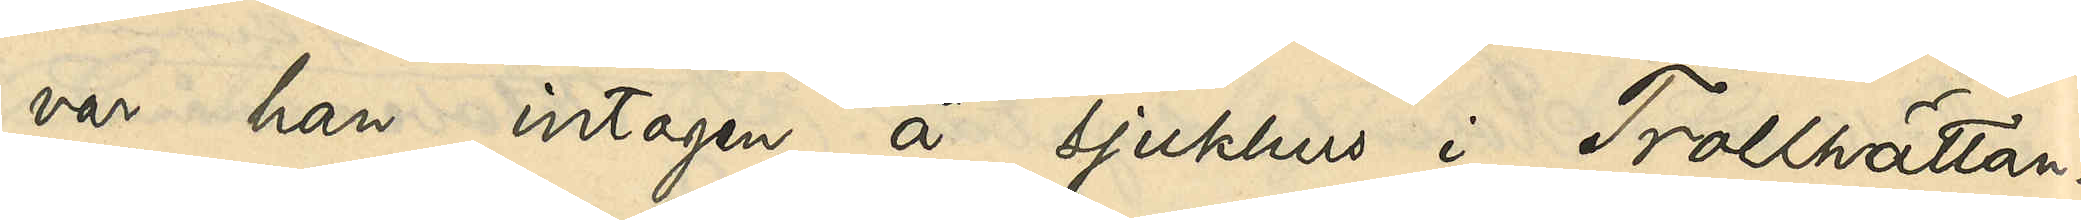var han intagen å sjukhus i Trollhättan.
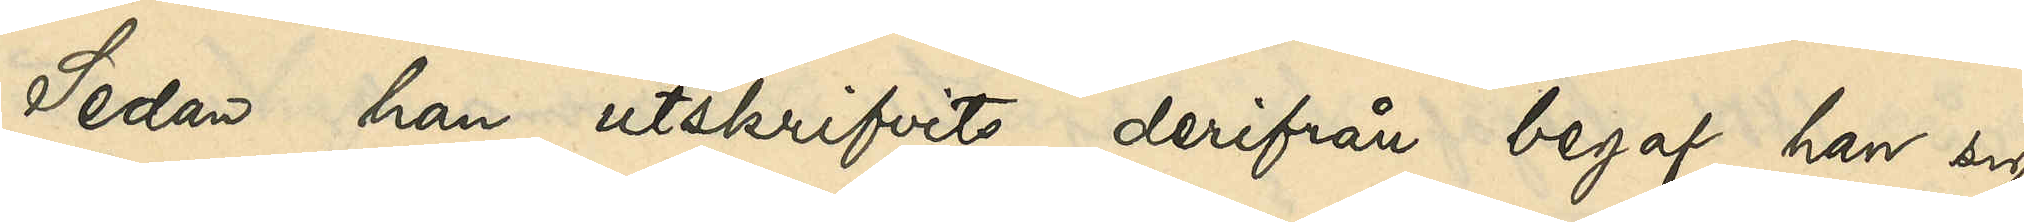Sedan han utskrifvits derifrån begaf han sig
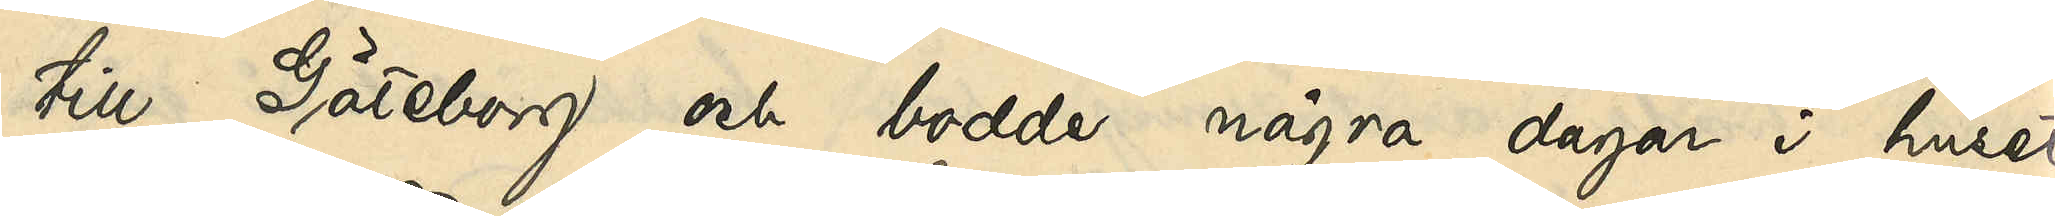till Göteborg och bodde några dagar i huset
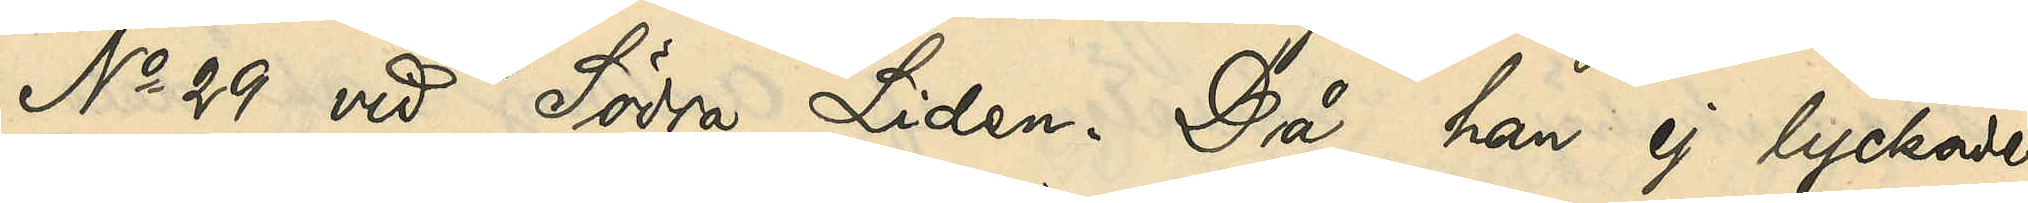No 29 vid Södra Liden. Då han ej lyckades
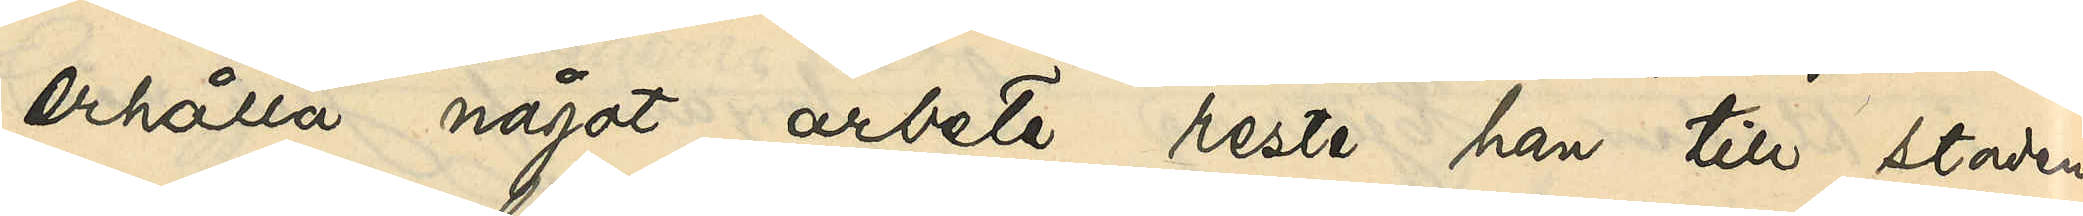erhålla något arbete reste han till staden
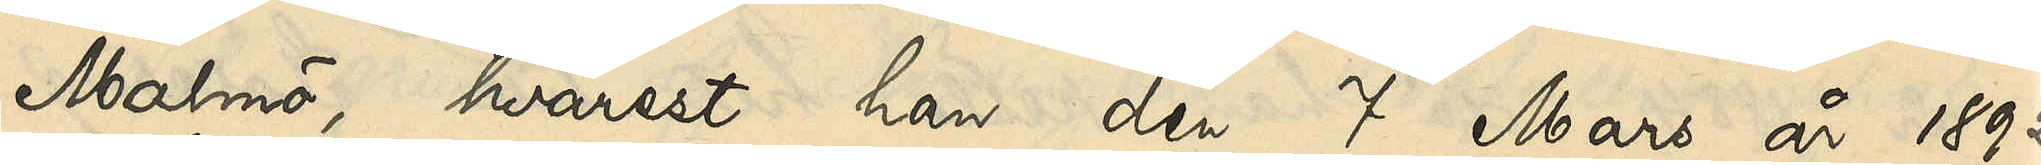Malmö, hvarest han den 7 Mars år 1892
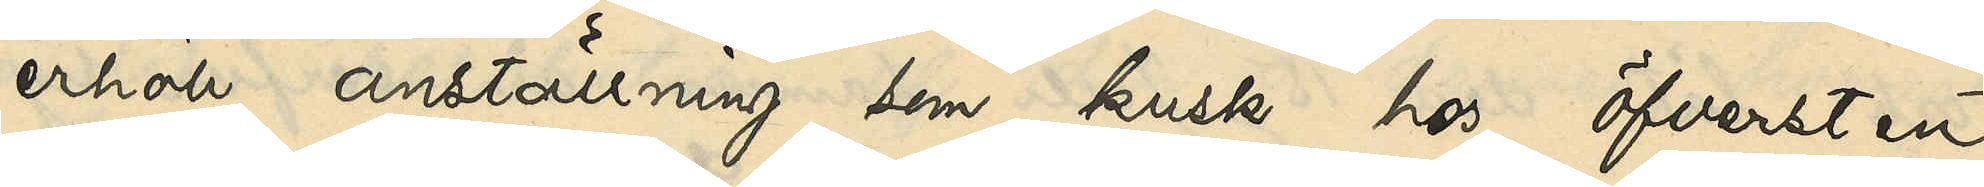erhöll anställning som kusk hos öfversten
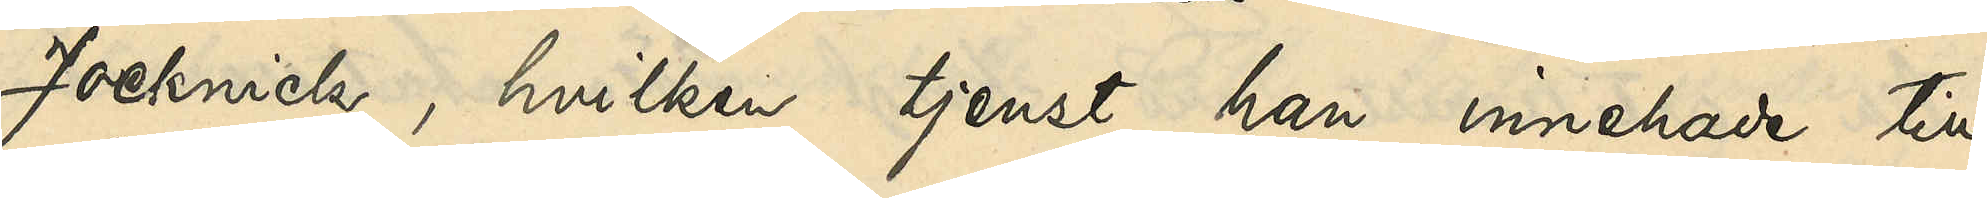Jocknick, hvilken tjenst han innehade till
